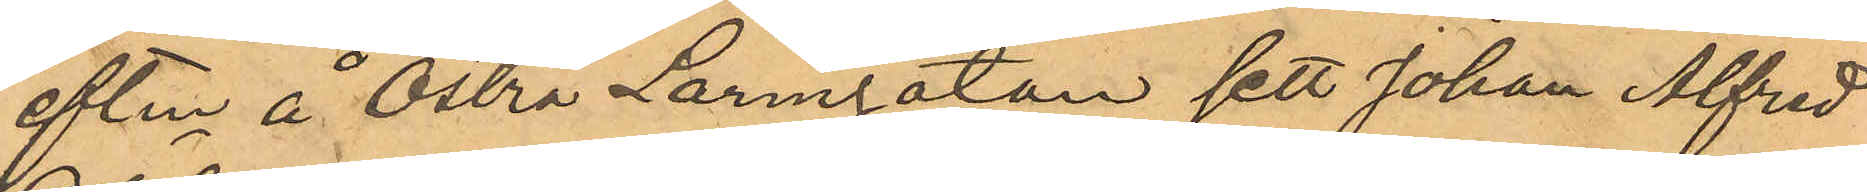eftm å Östra Larmgatan sett Johan Alfred
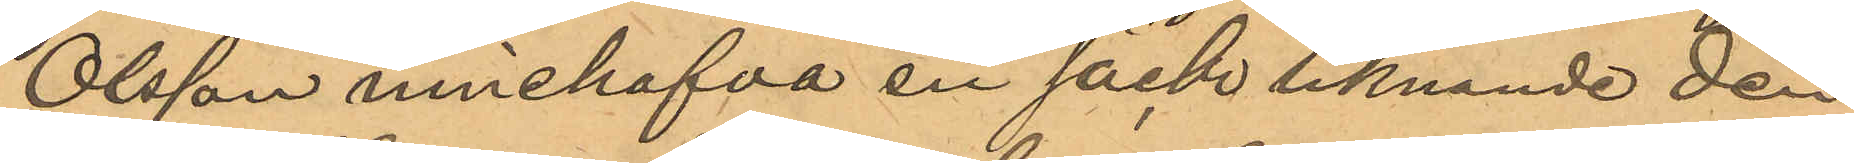Olsson innehafva en säck liknande den
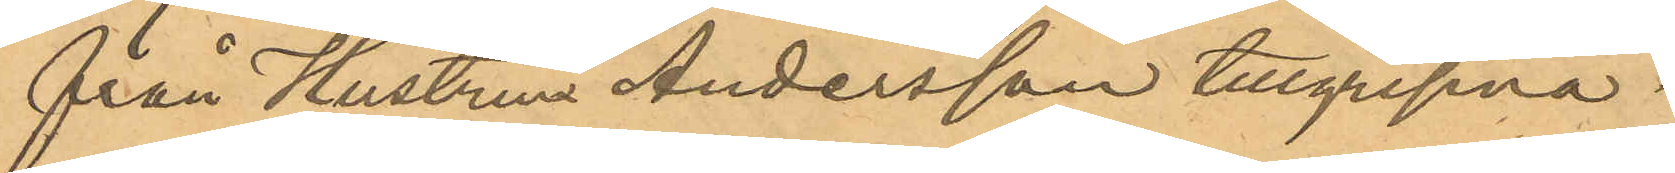från Hustrun Andersson tillgripna.
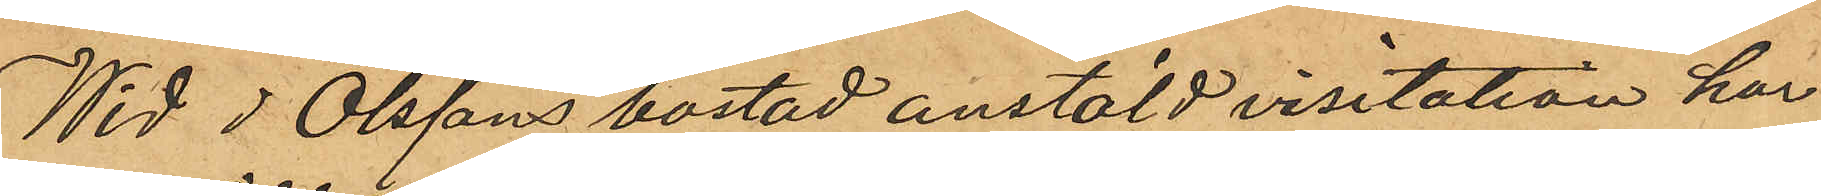Wid J Olssons bostad anstäld visitation har
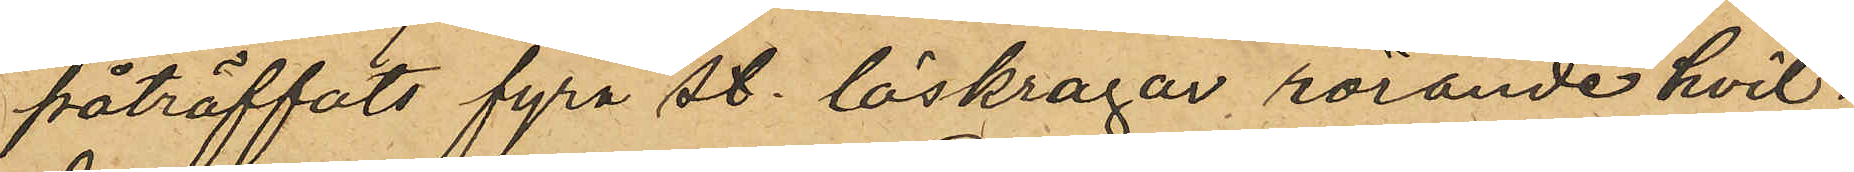påträffats fyra st. löskragar rörande hvil¬
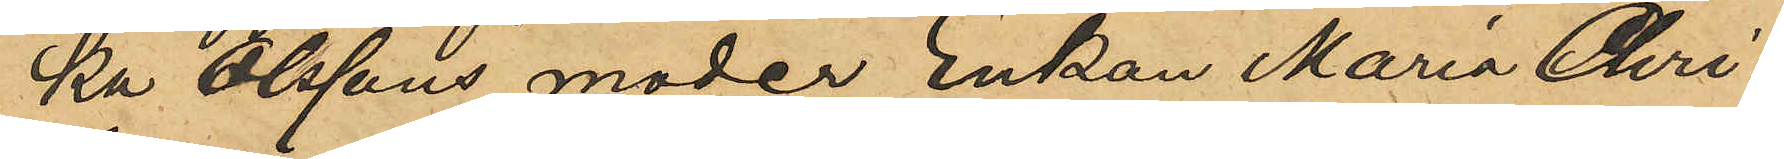ka Olssons moder Enkan Maria Chri¬
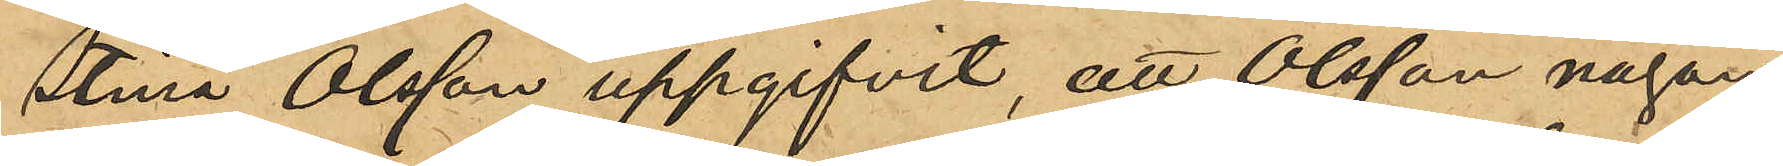stina Olsson uppgifvit, att Olsson någon
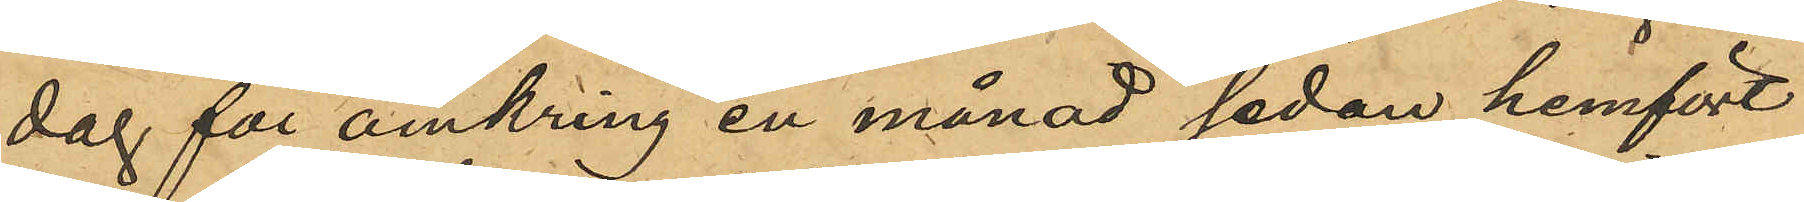dag för omkring en månad sedan hemfört
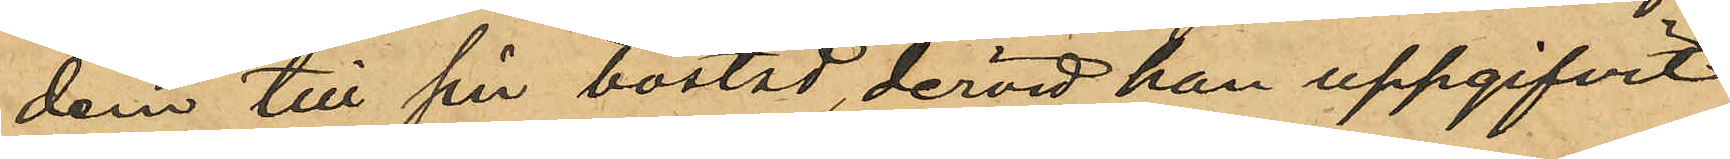dem till sin bostad, dervid han uppgifvit
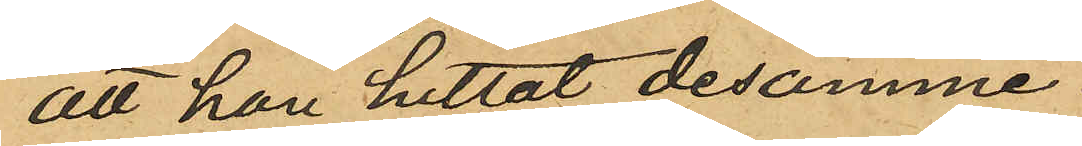att han hittat desamme.
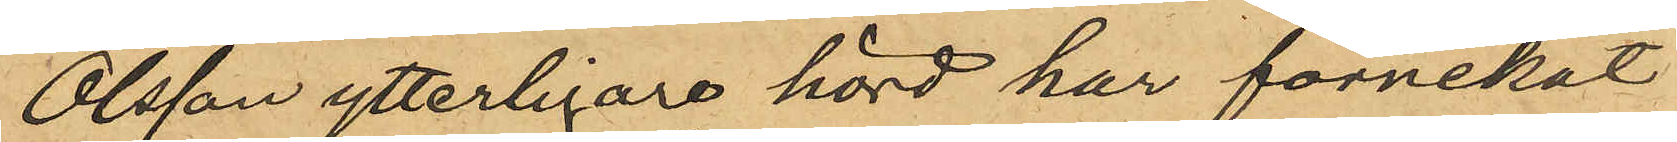Olsson ytterligare hörd har förnekat
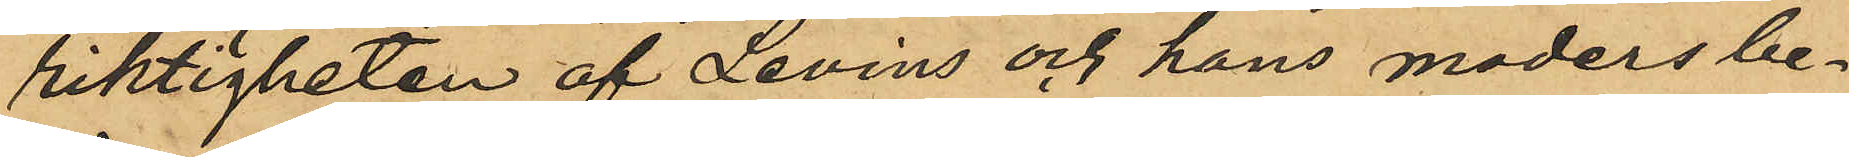riktigheten af Levins och hans moders be¬
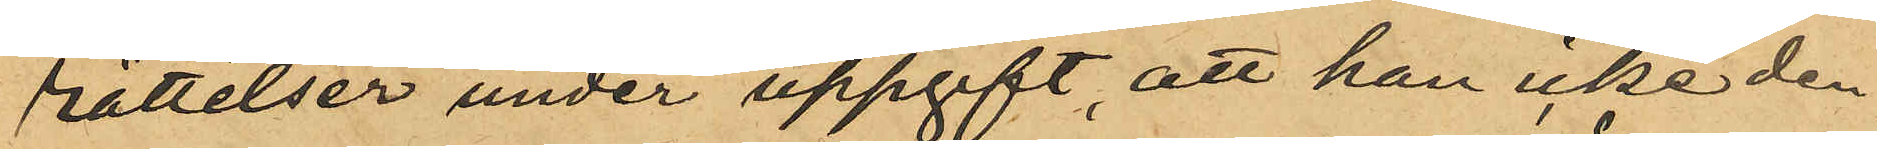rättelser under uppgift, att han icke den
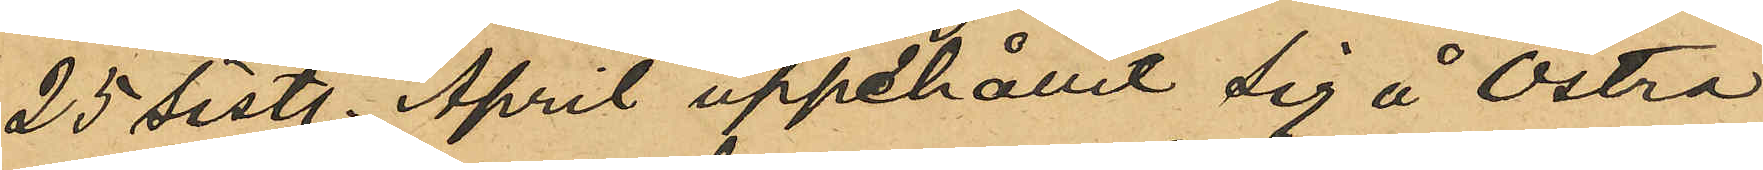25 sist. April uppehållit sig å Östra
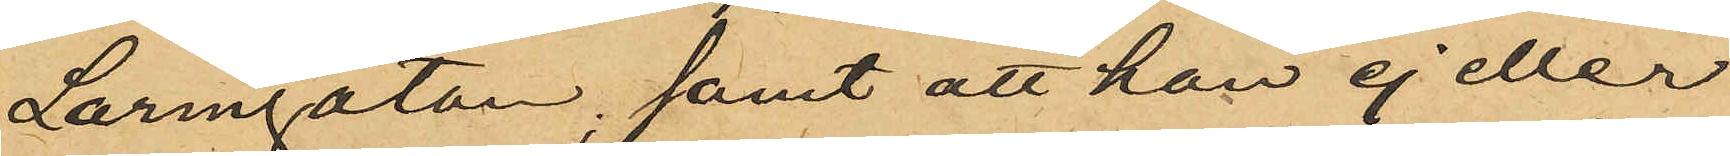Larmgatan, samt att han ej eller
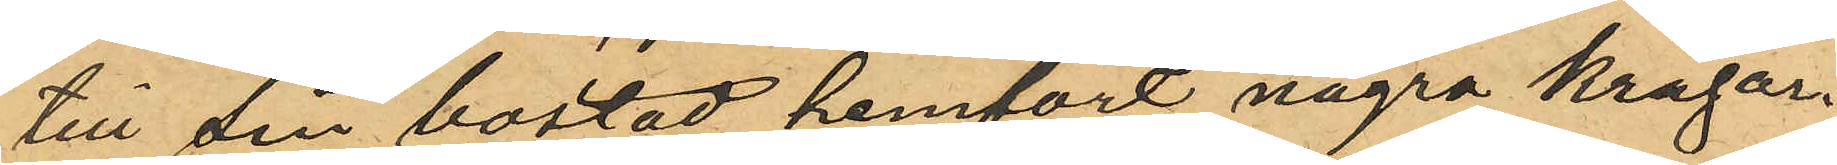till sin bostad hemfört några kragar.
